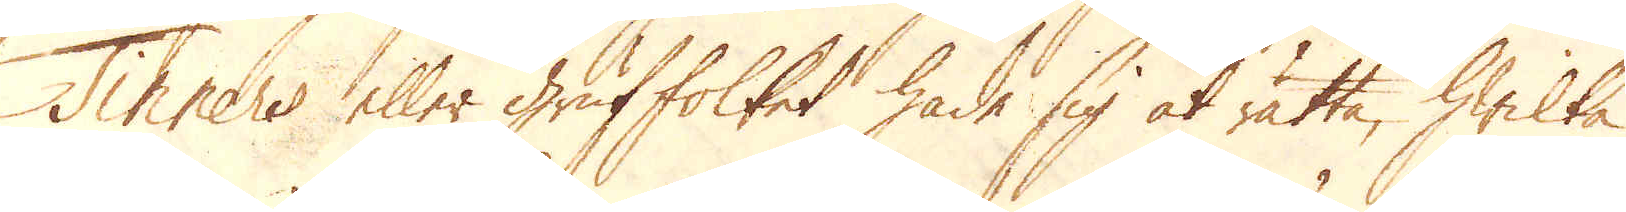Tinners eller Gruffolket hade sig at rätta, hwilka
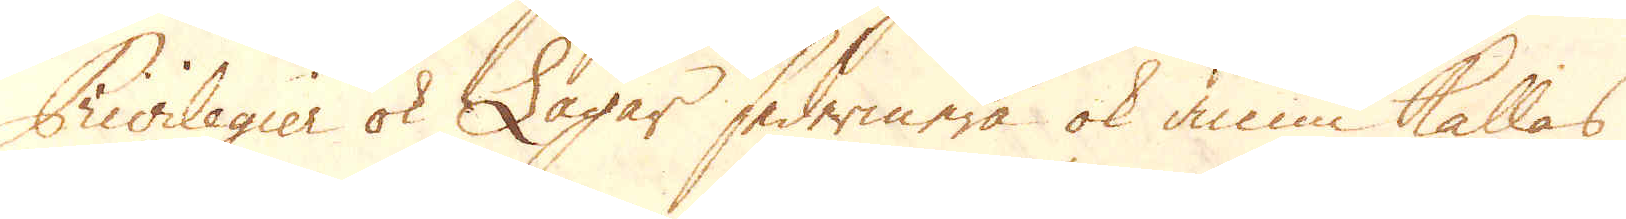Privilegier ok Lagar sedermera ok ännu kallas
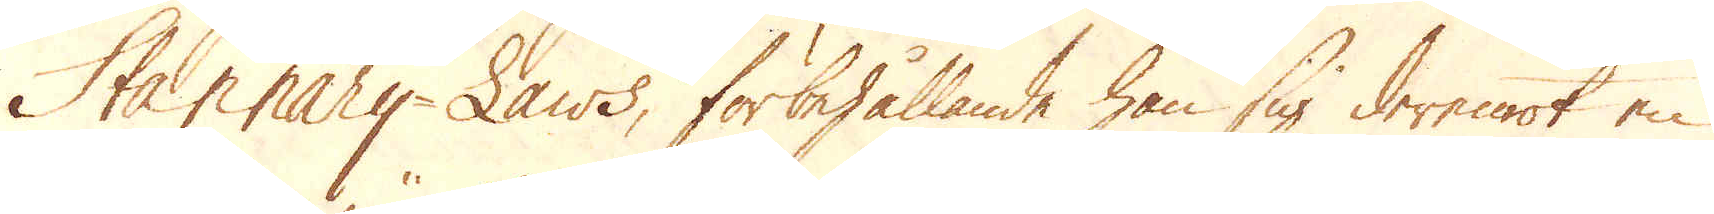Stannary-Laws, förbehållande han sig deremot en
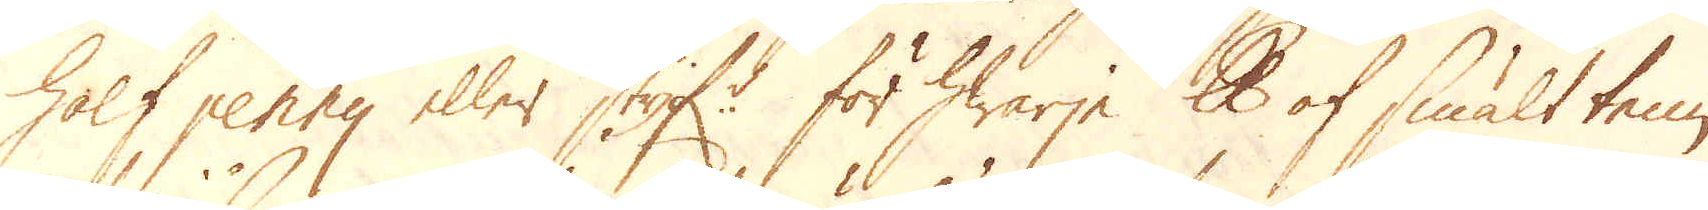half penny eller styf:r för hwarje skålpund af smält tenn
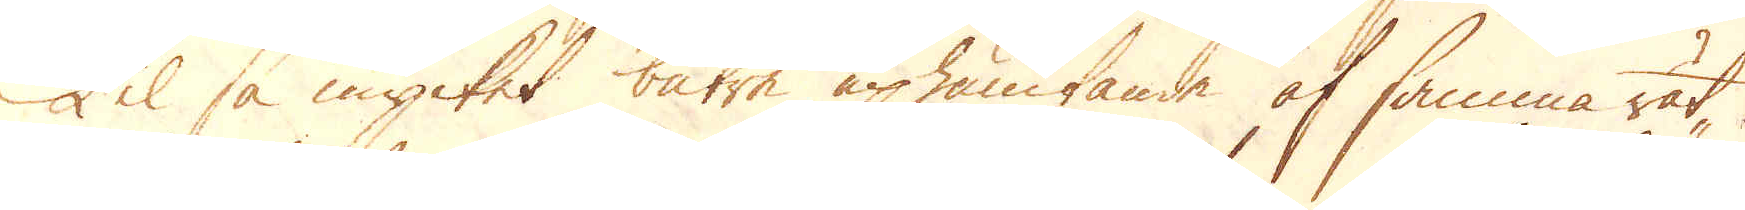Til så mycket bätre uphämtande af samma rät-
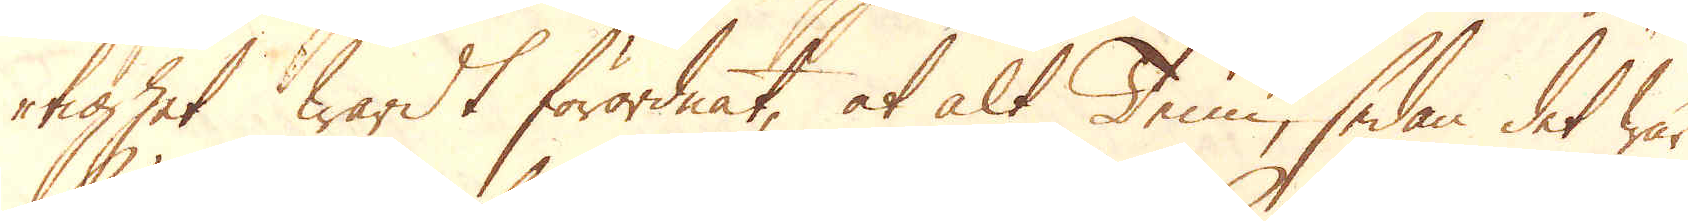tighet wardt förordnat, at alt Tenn, sedan det war
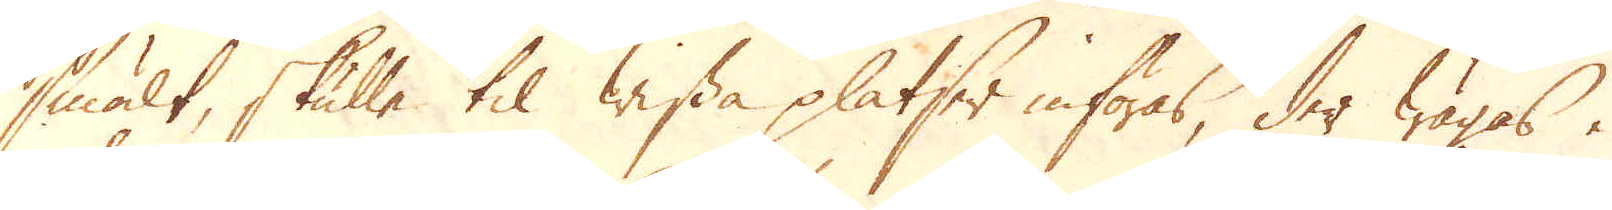smält, skulle til wissa platser införas, der wägas i
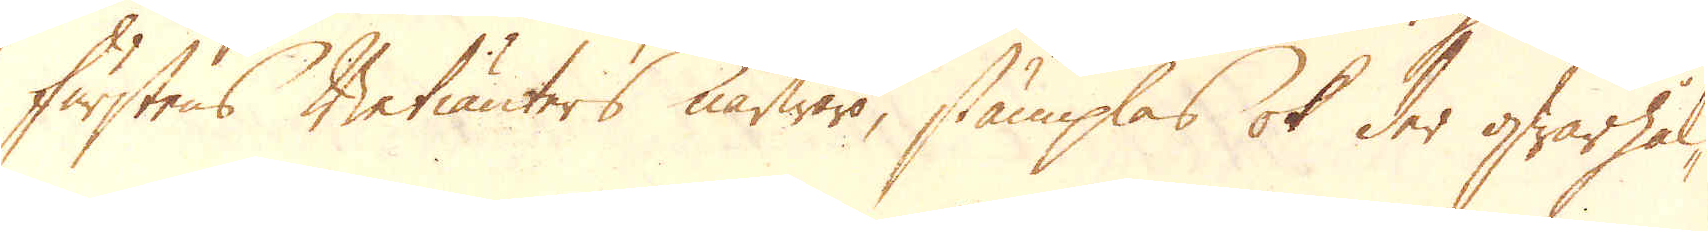furstens Betiänters närwaro, stämplas ok der qwarhål-
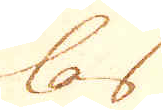las
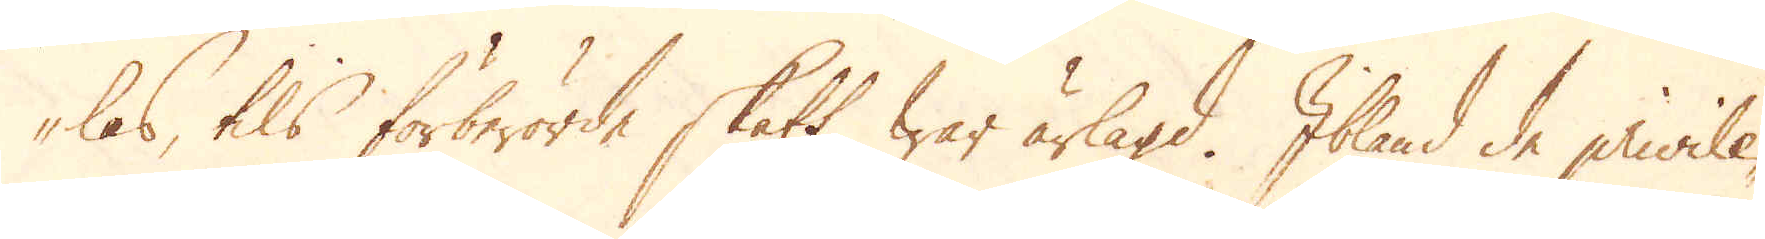las, tils förberörde skatt war ärlagd. Ibland de privile-
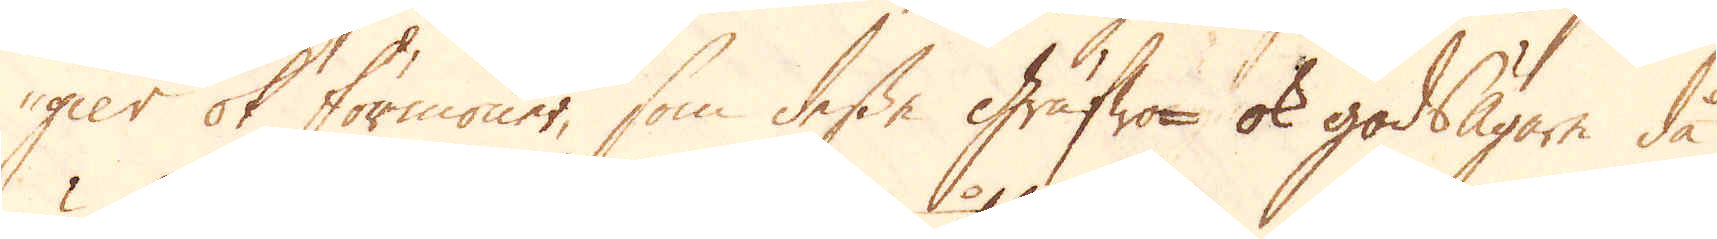gier ok förmoner, som desse Grufwo- ok godsägare då
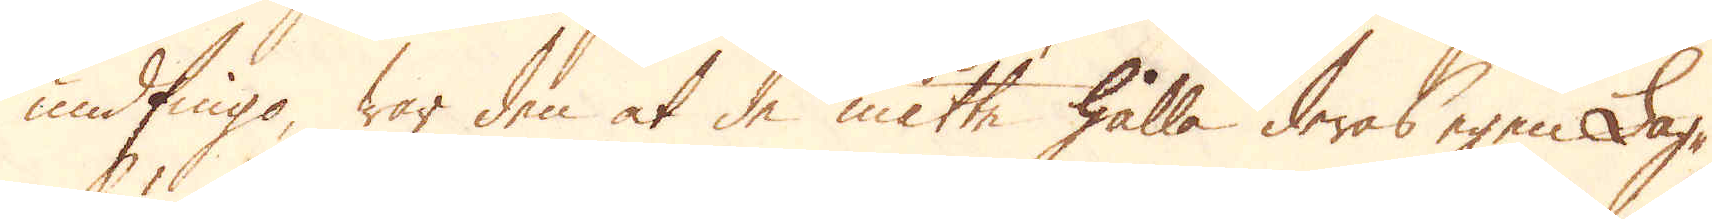undfingo, war den at de måtte hålla deras egen Lag-
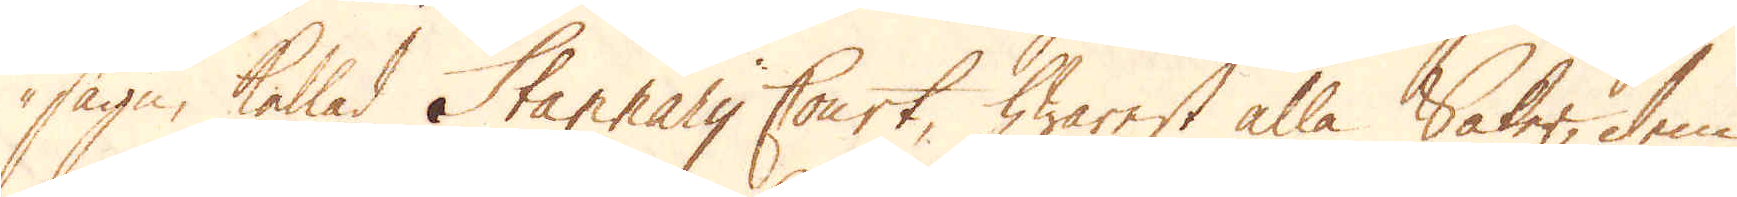sägn, kallad Stannary Court, hwarest alla Saker, dem
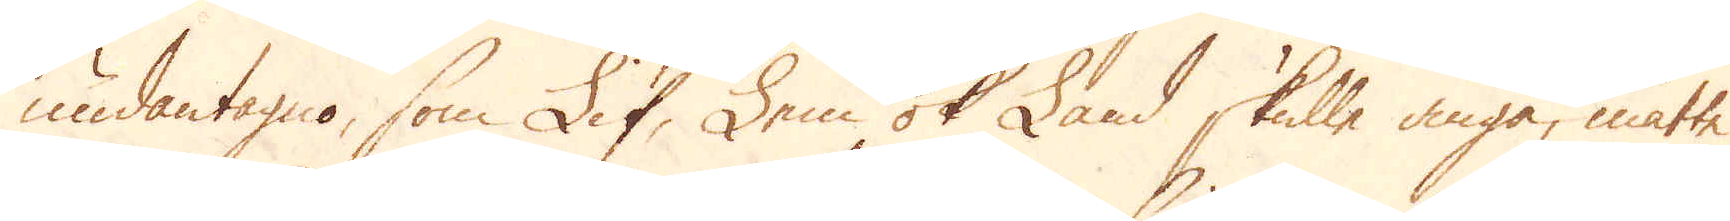undantagno, som Lif, Lem ok Land skulle angå, måtte
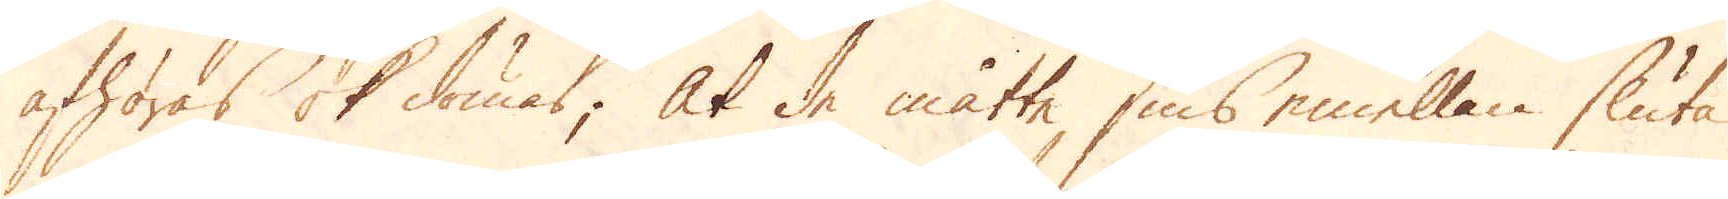afhöras ok dömas; At de måtte sins emellan sluta
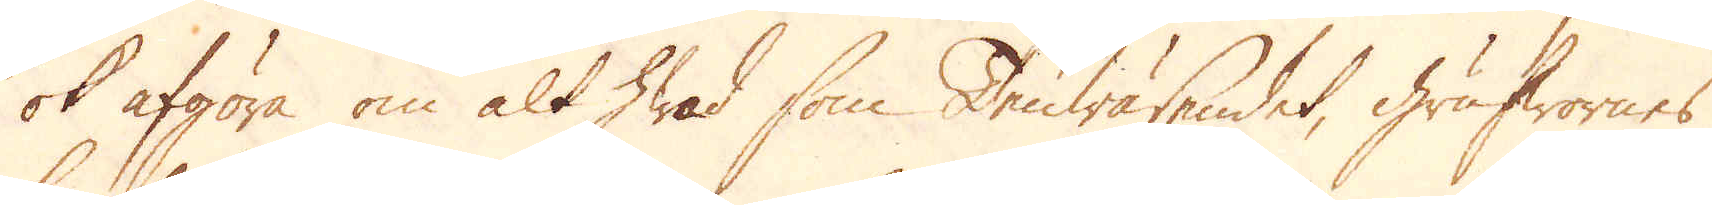ok afgöra om alt hwad som Tenwäsendet, grufwornes
